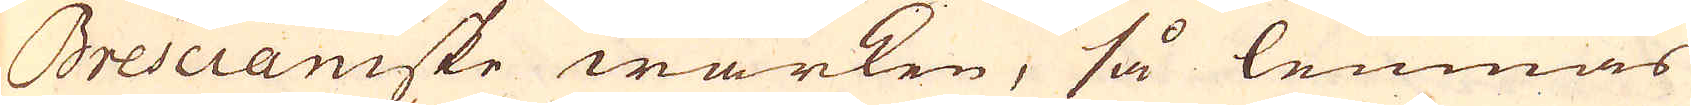Brescianiske wärken, så lemnas
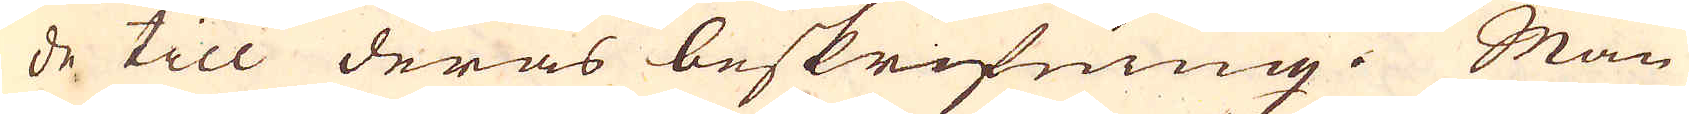de till deras beskrifning. Man
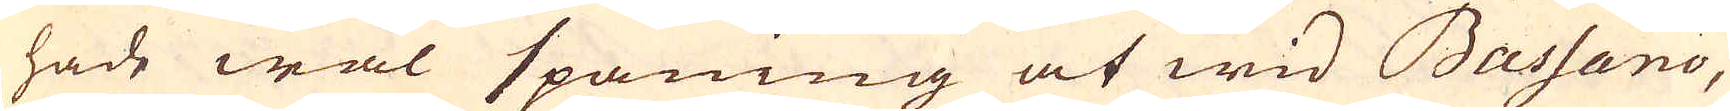hade wäl spaning at wid Bassano,
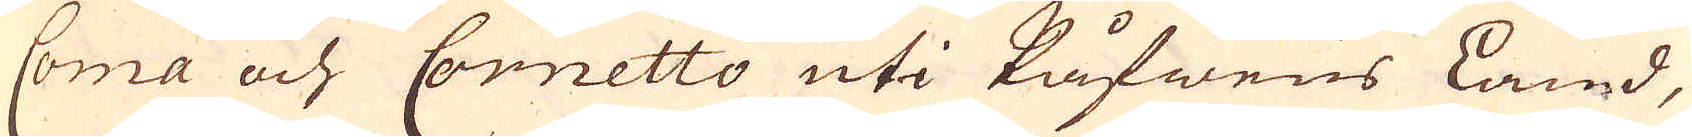Coma och Cornetto uti Påfwens Land,
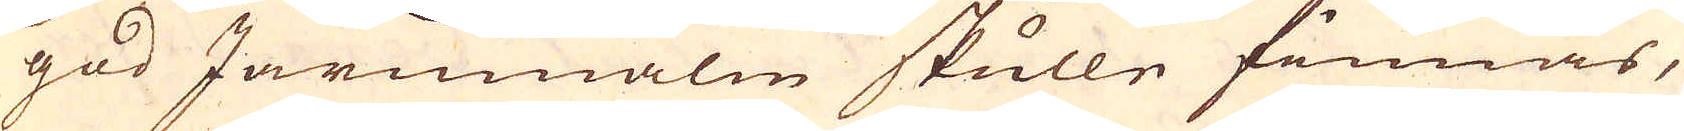god Järnmalm skulle finnas,
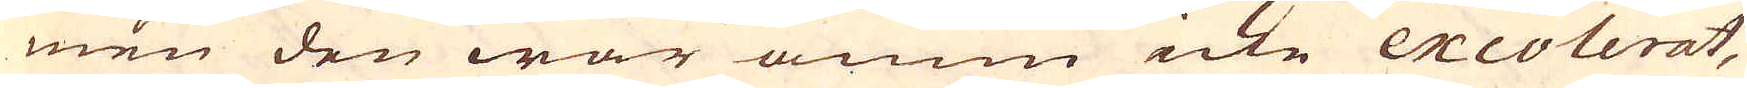men den war ännu icke excolerat,
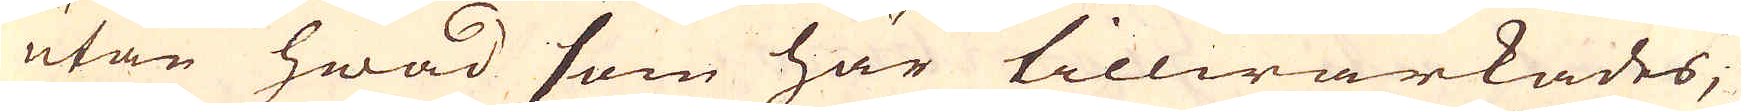utan hwad som här tillwärkades,
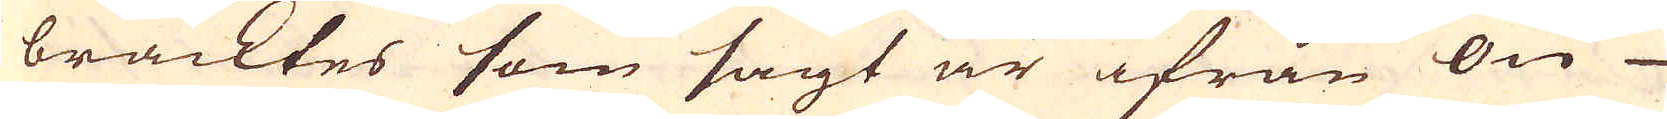bracktes som sagt är ifrån Ön
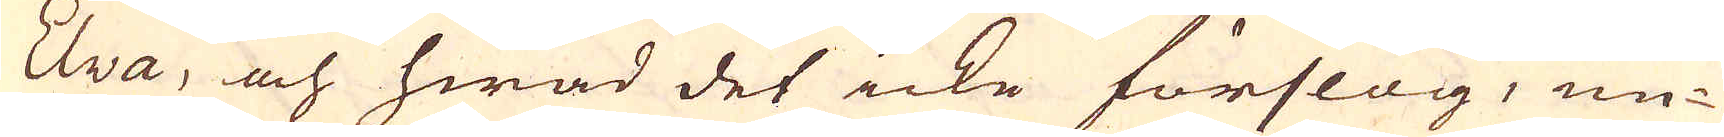Elva, och hwad det icke förslag, un-
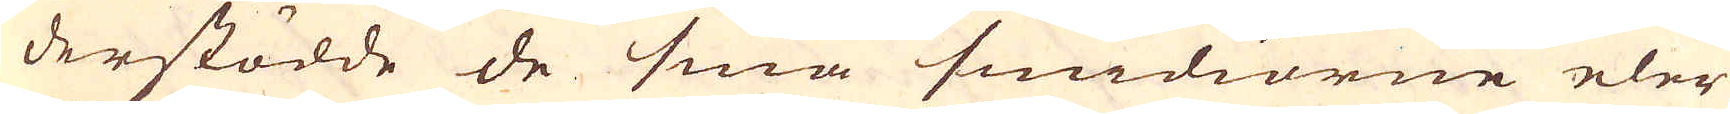derstödde de små smidiorne eler
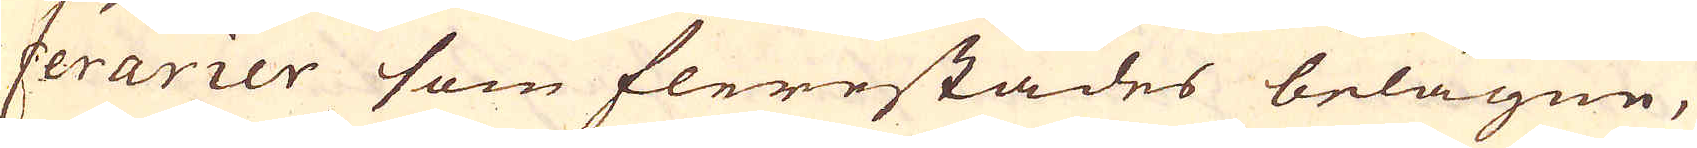ferarier som flerestädes belägne,
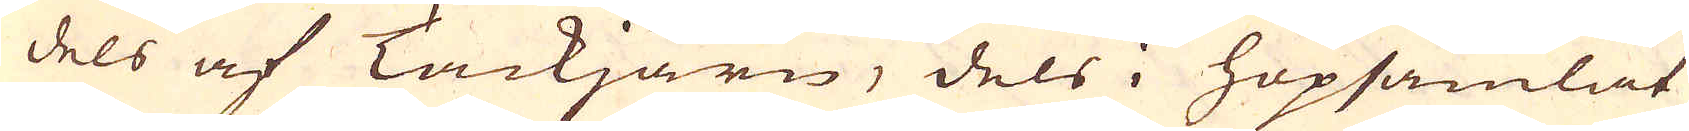dels af Tackjärn, dels i hopsamlat
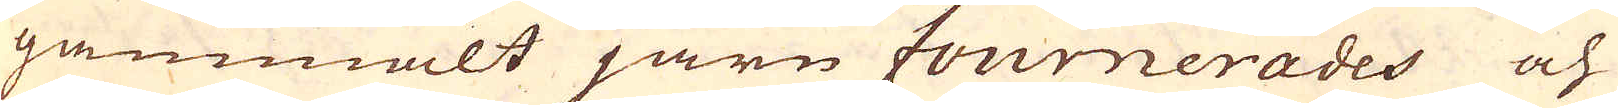gammalt järn fournerades och
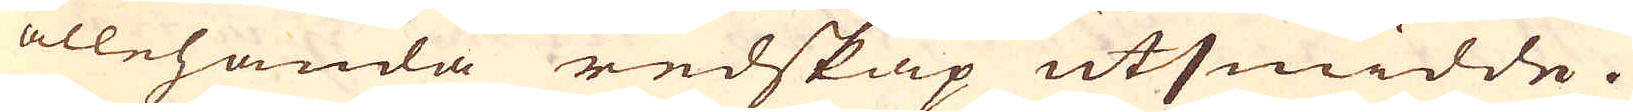allehanda redskap utsmidde.
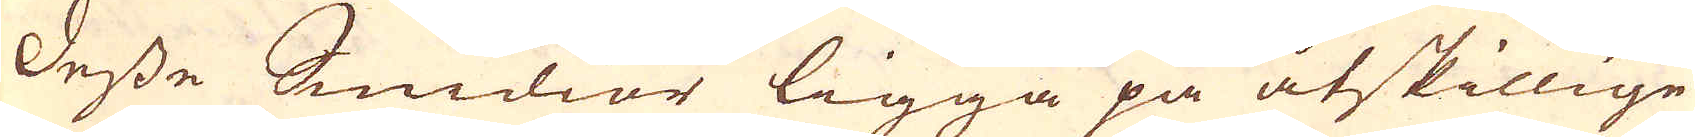Desse Smidior ligga på åtskillige
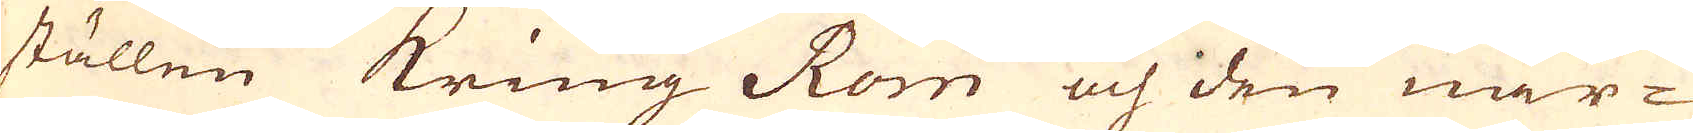ställen kring Rom och den när-
